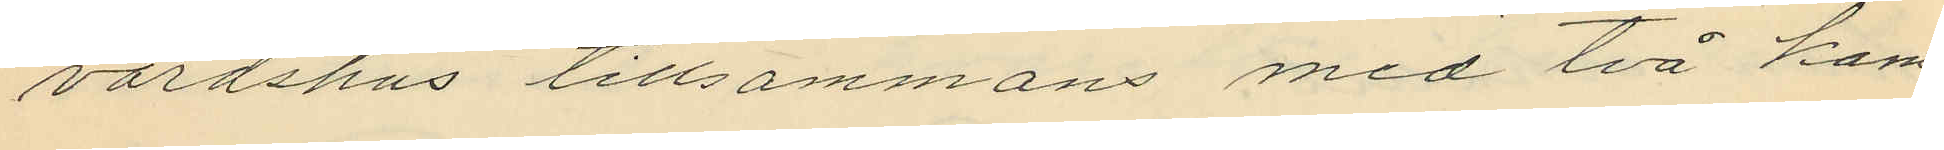värdshus tillsammans med två kam¬
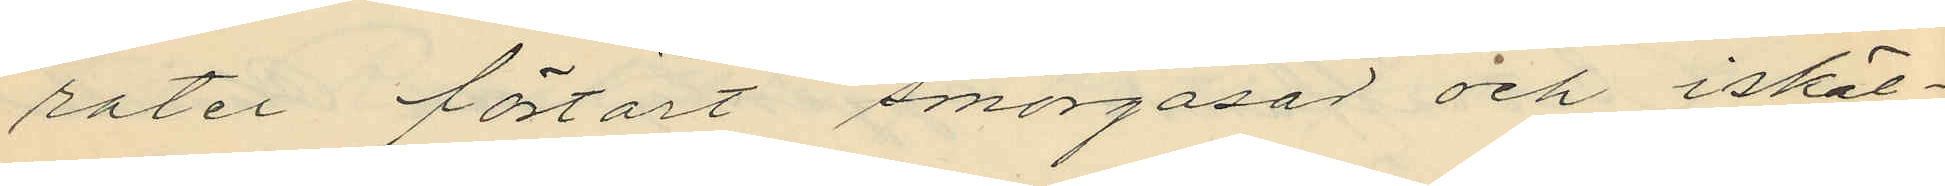rater förtärt smörgåsar och iskäl¬
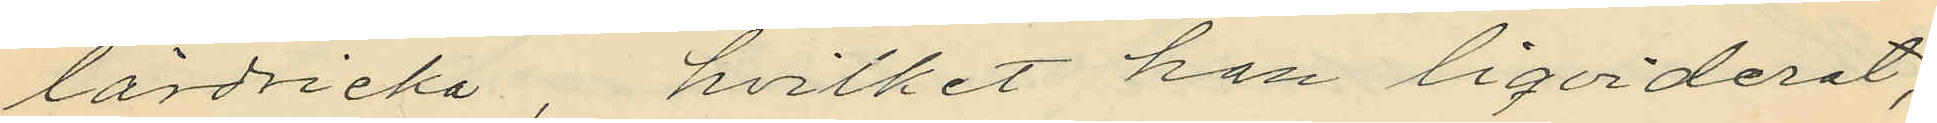lardricka hvilket han liqviderat;
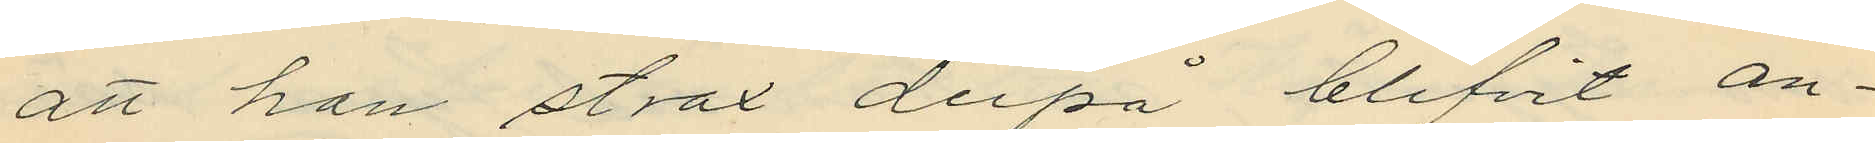att han strax derpå blifvit an¬
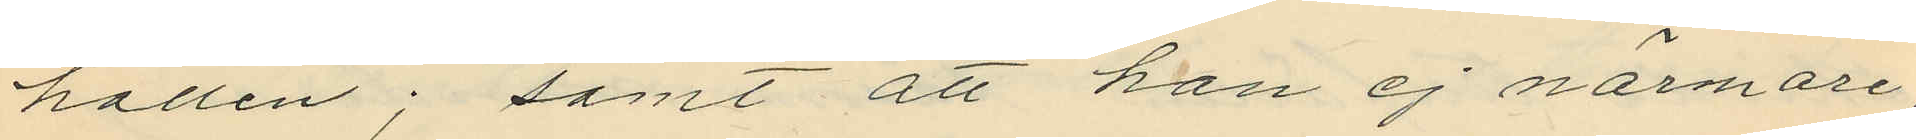hållen; samt att han ej närmare,
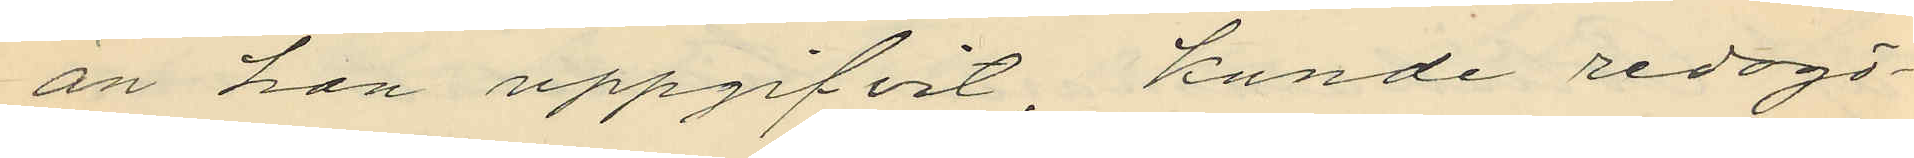än han uppgifvit, kunde redogö¬
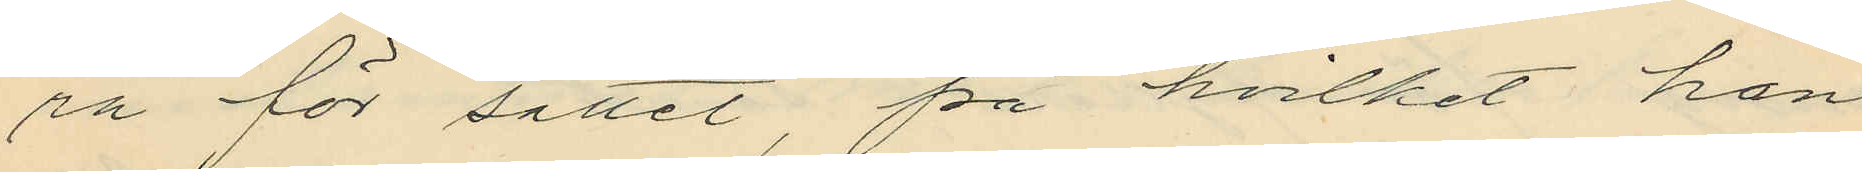ra för sättet, på hvilket han
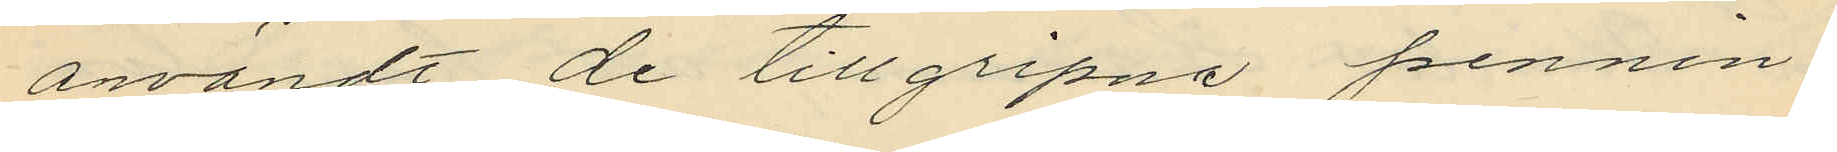användt de tillgripna pennin¬
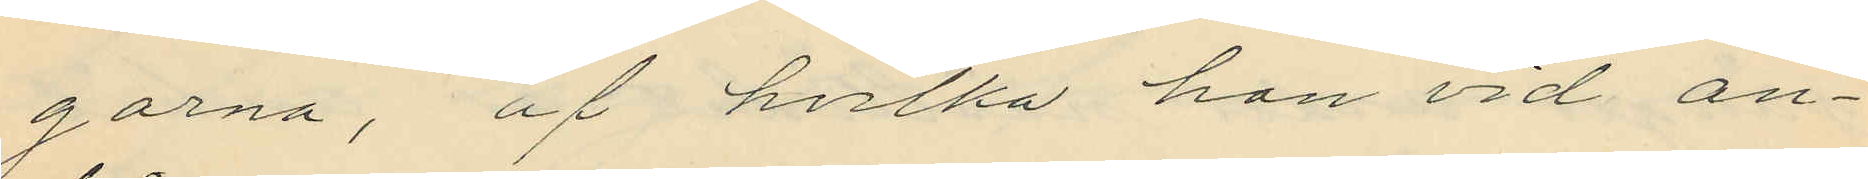garna, af hvilka han vid an¬
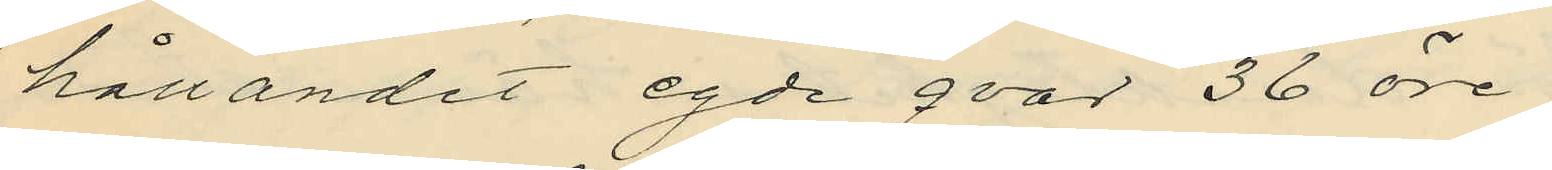hållandet egde qvar 36 öre.
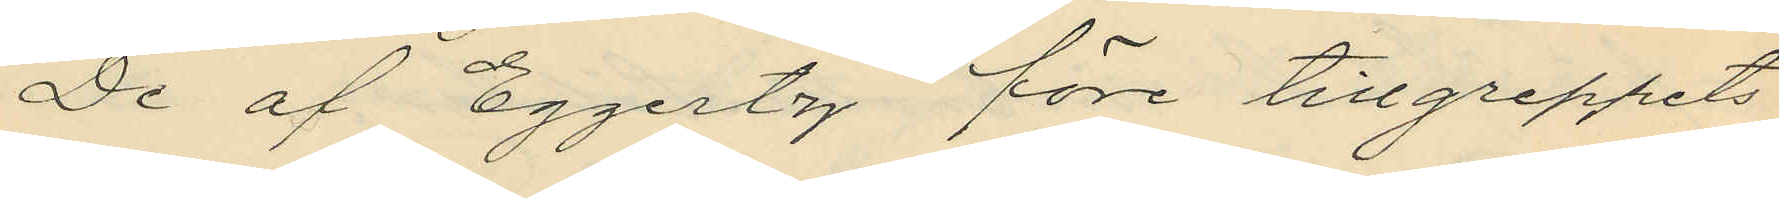De af Eggertz före tillgreppets
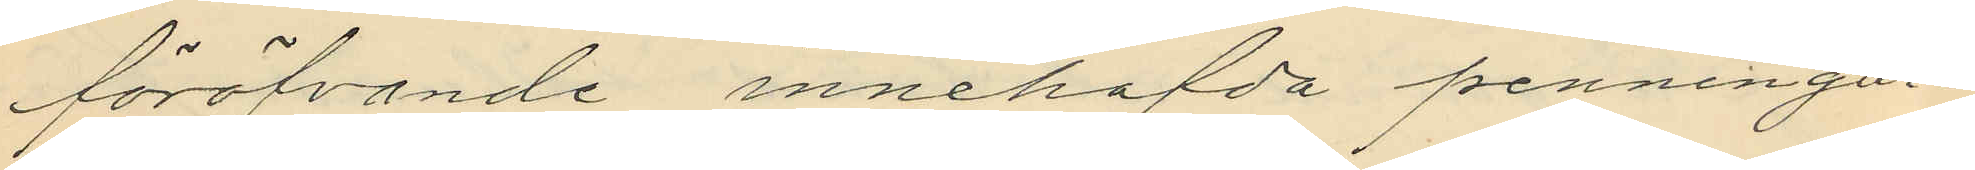föröfvande innehafda penningar¬
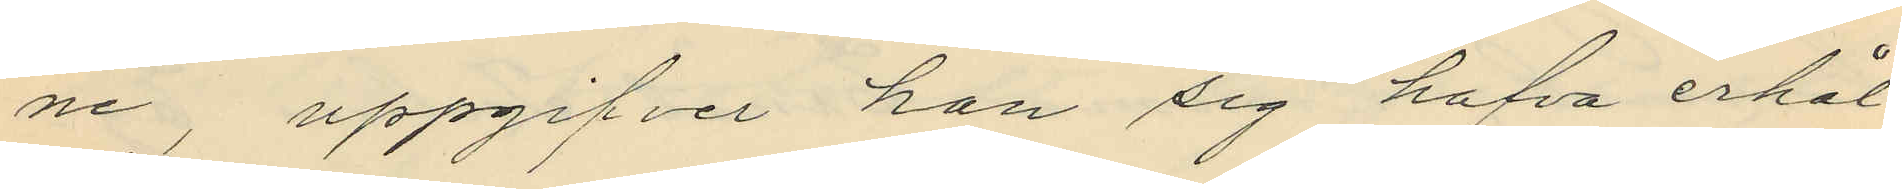ne, uppgifver han sig hafva erhål¬
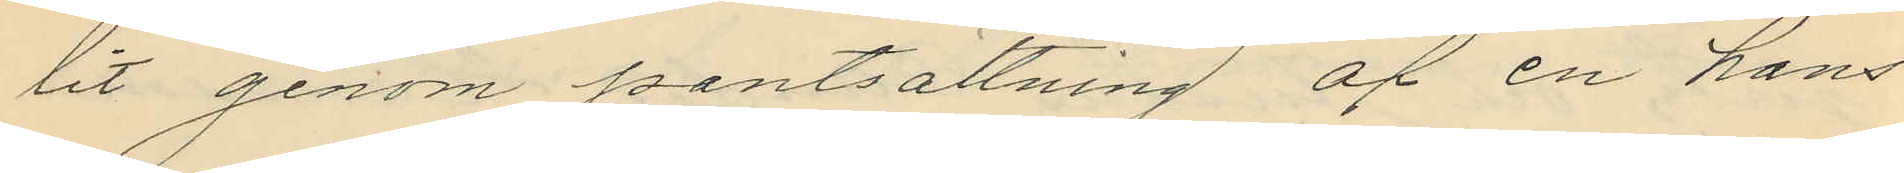tit genom pantsättning af en hans
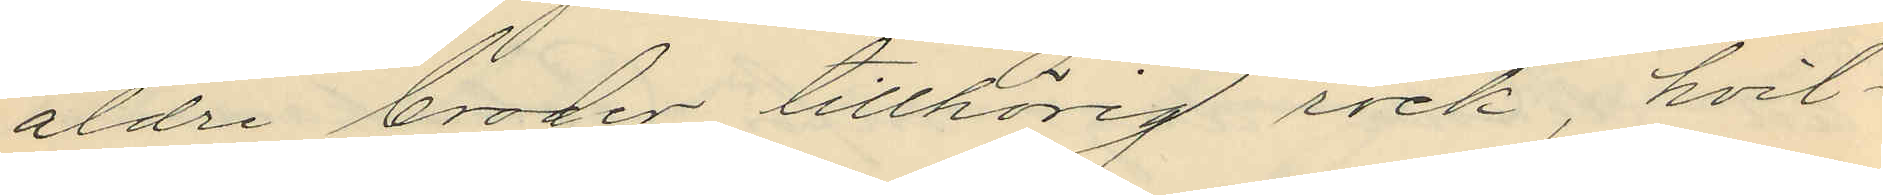äldre broder tillhörig rock, hvil¬
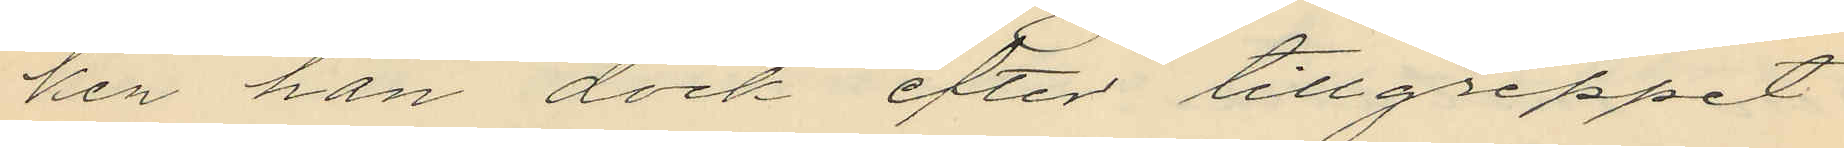ken han dock efter tillgreppet
